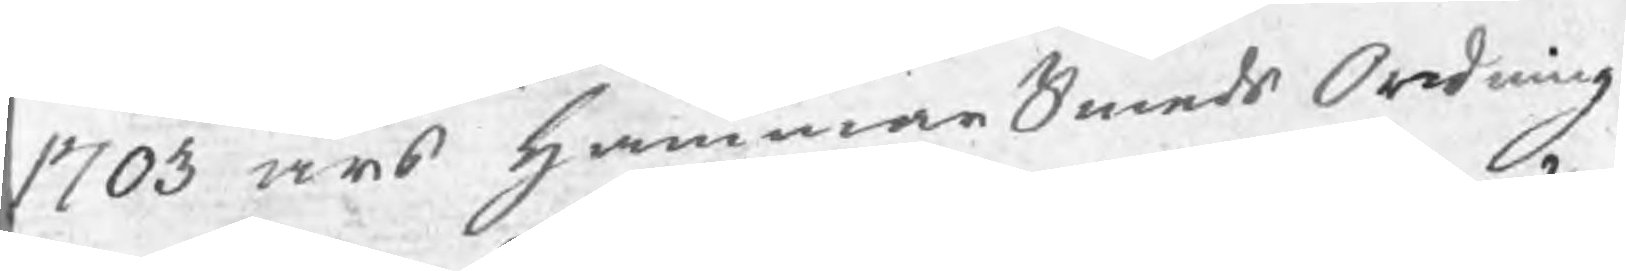1703 års HammarSmeds Ordning
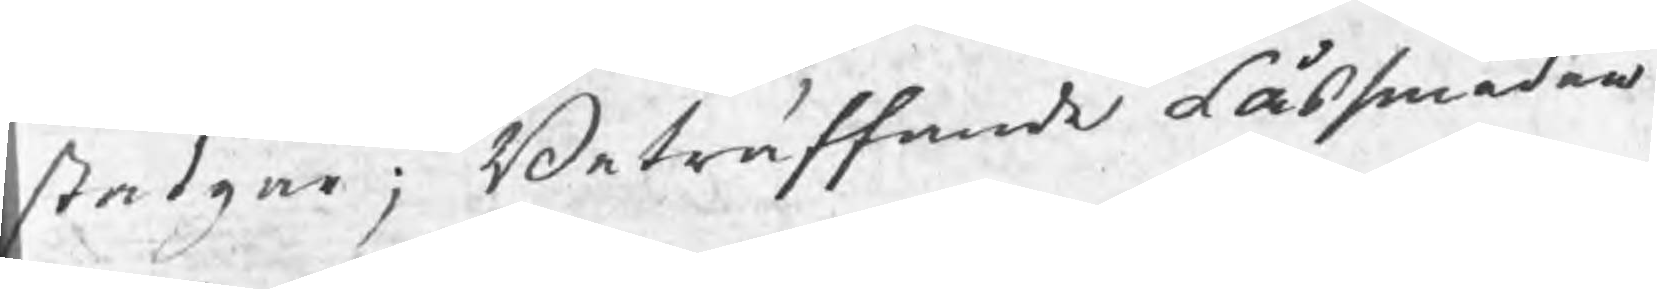stadgar; Beträffande Låssmeden
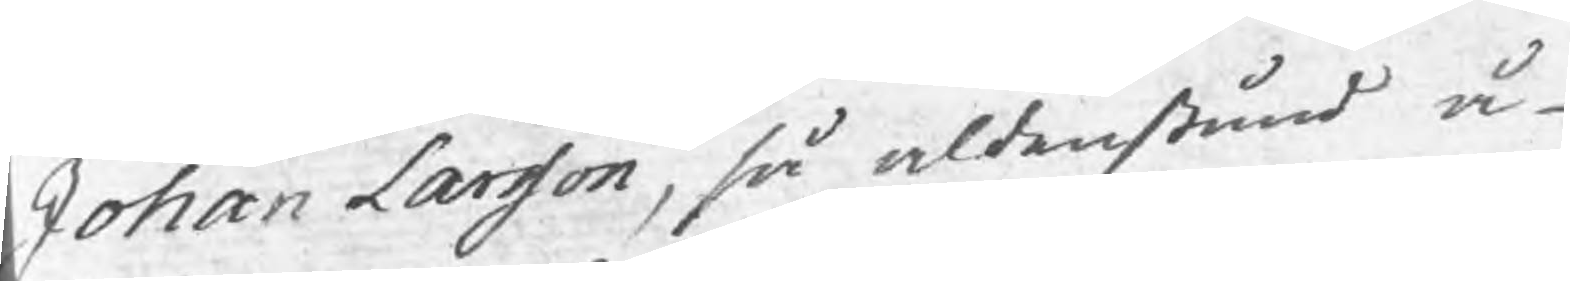Johan Larsson, så aldenstund å
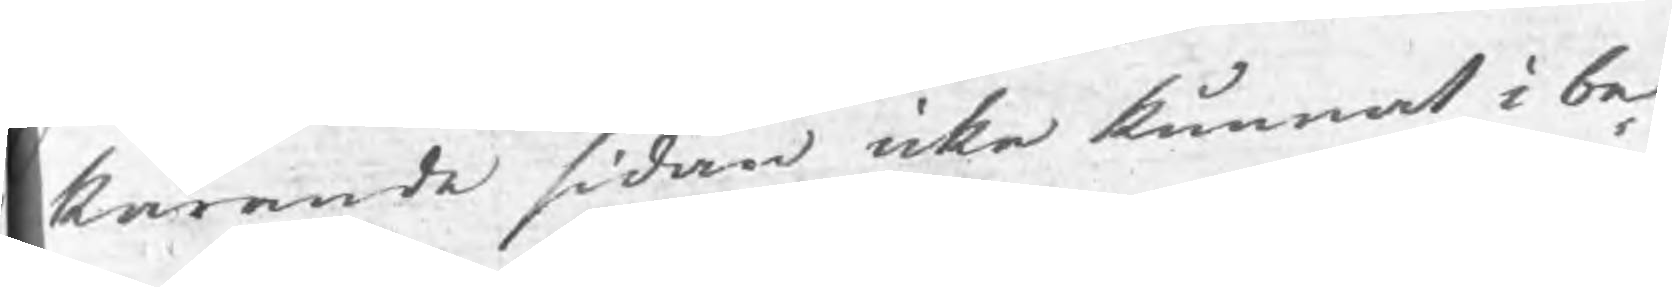kärande sidan icke kunnat i be¬
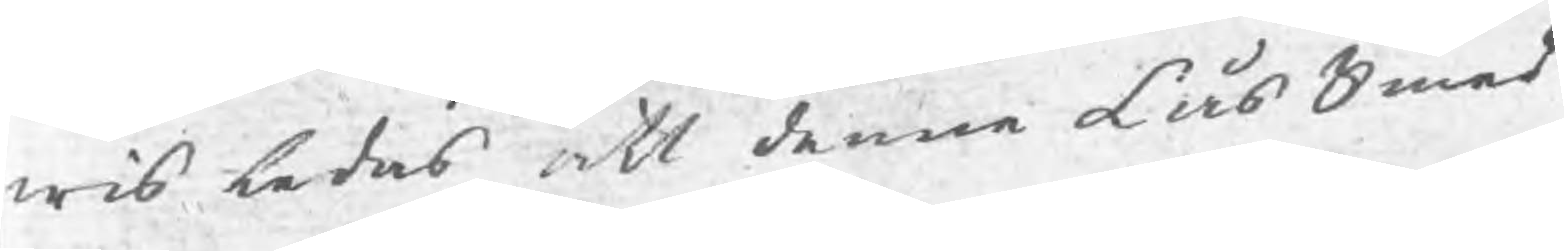wis ledas att denne Låssmed
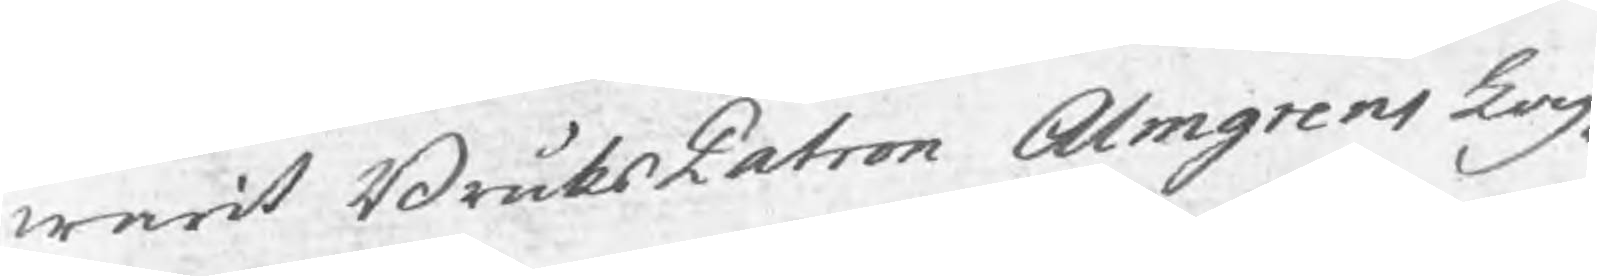warit BruksPatron Almgrens Lag¬
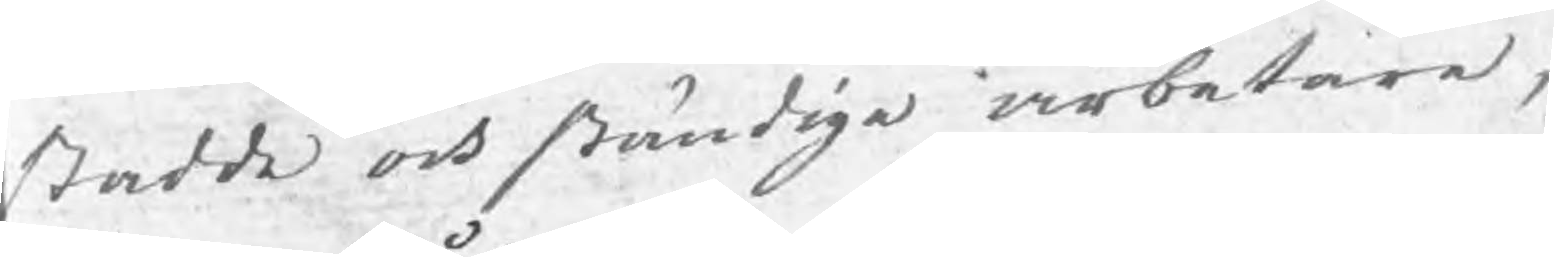stadde och ständige arbetare,
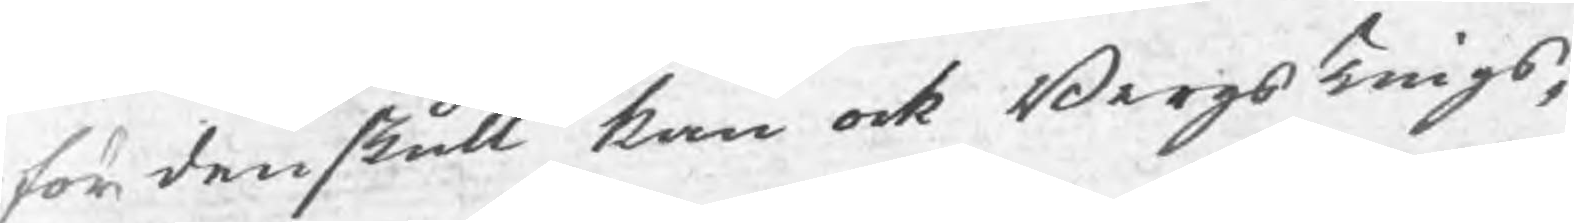fördenskull kan ock BergsTings¬
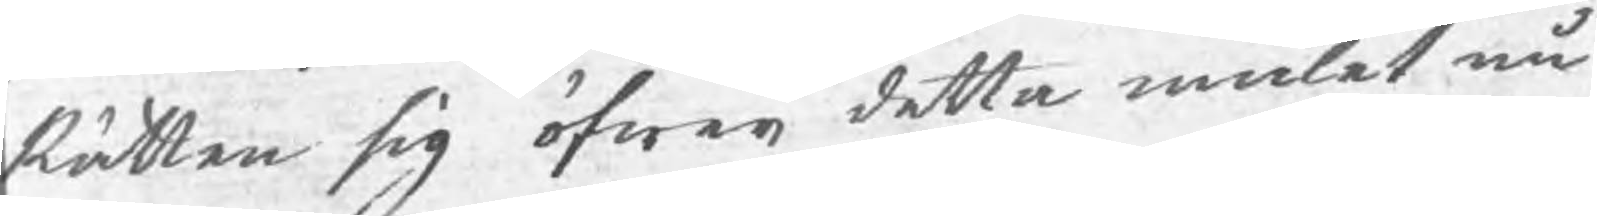Rätten sig öfwer detta målet nu
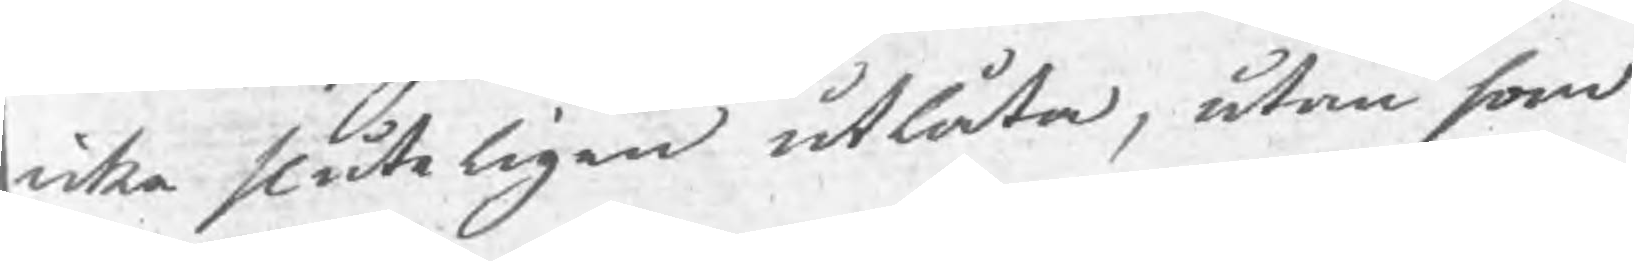icke sluteligen utlåta, utan som
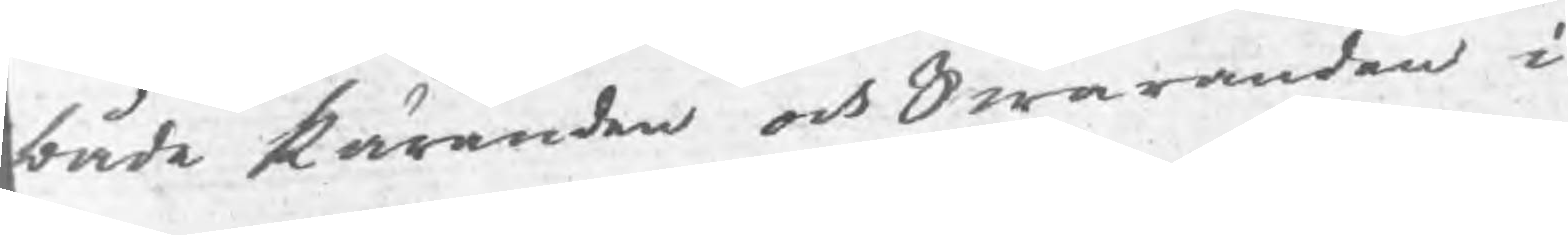både käranden och Swaranden i
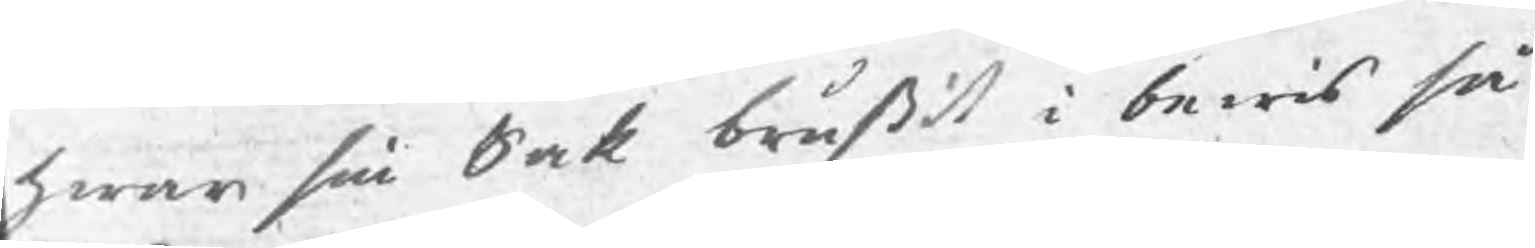hwar sin Sak brustit i bewis så
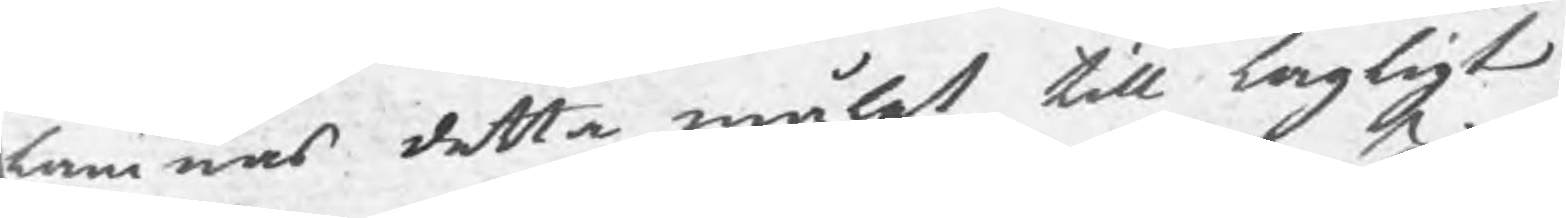lämnas detta målet till lagligt
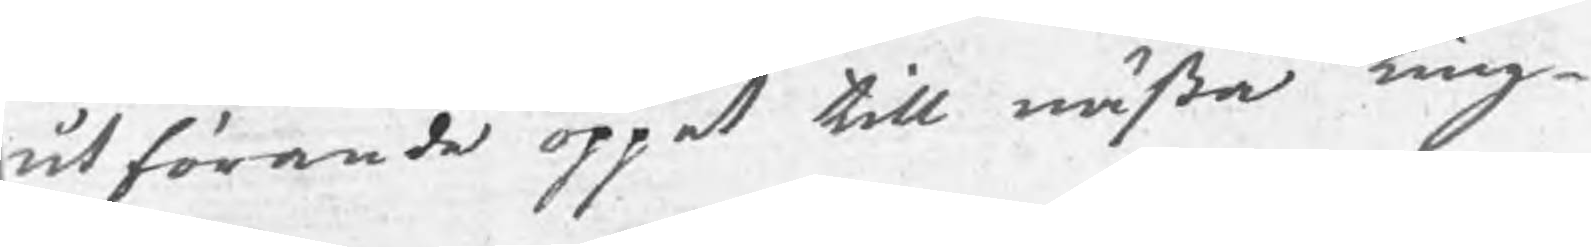utförande öppet till nästa Ting
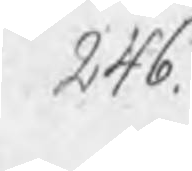246.
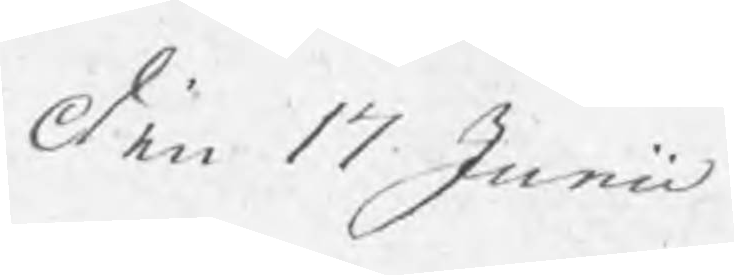den 17 Junii
